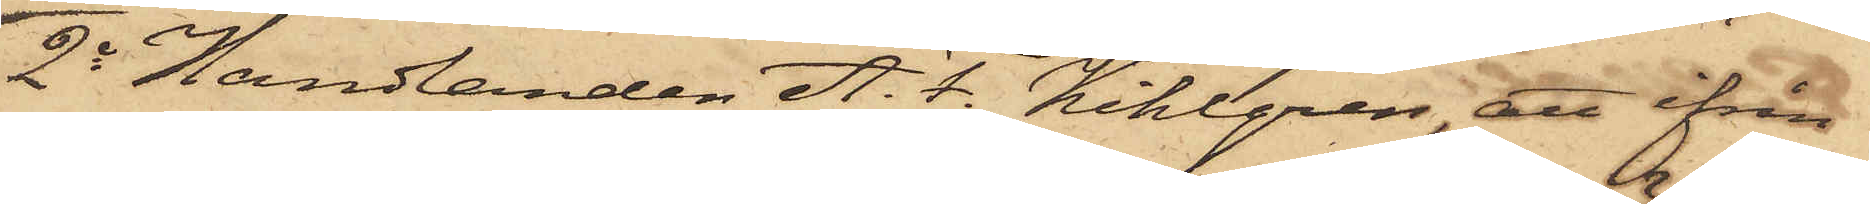2o Handlanden A. F. Kihlgren, att ifrån
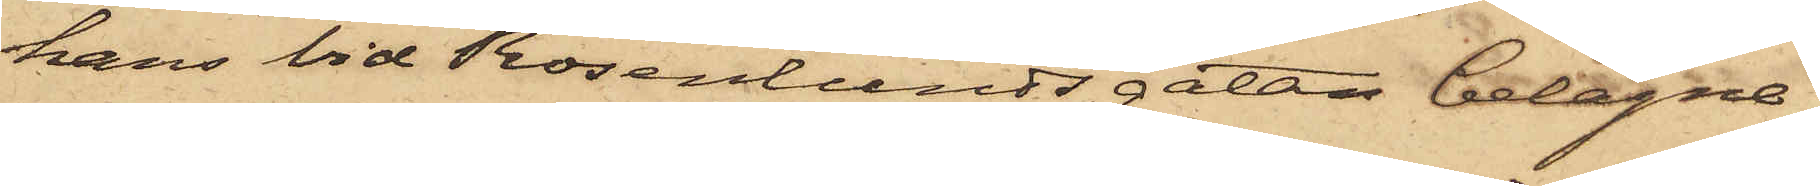hans vid Rosenlundsgatan belägne
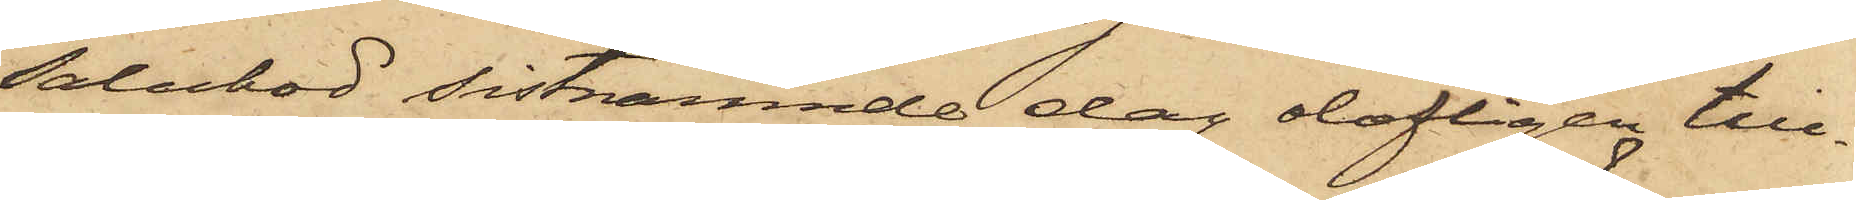Salubod sistnämnde dag olofligen till¬
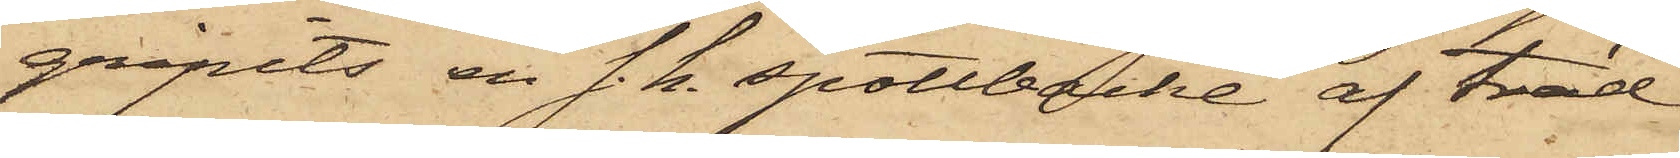gripits en s. k. spottbacke af träd.
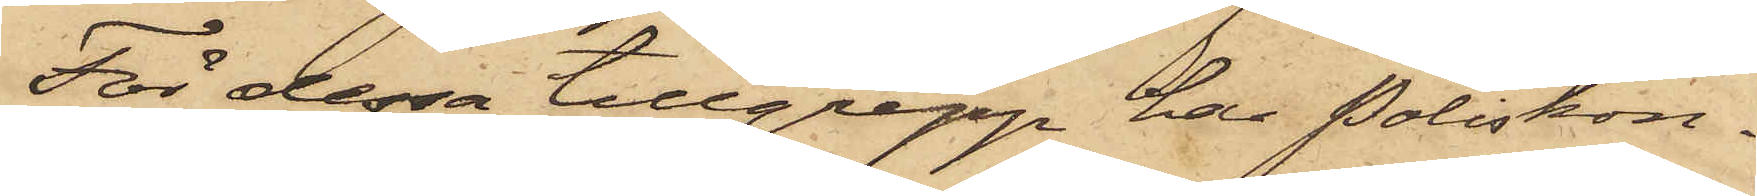För dessa tillgrepp har Poliskon¬
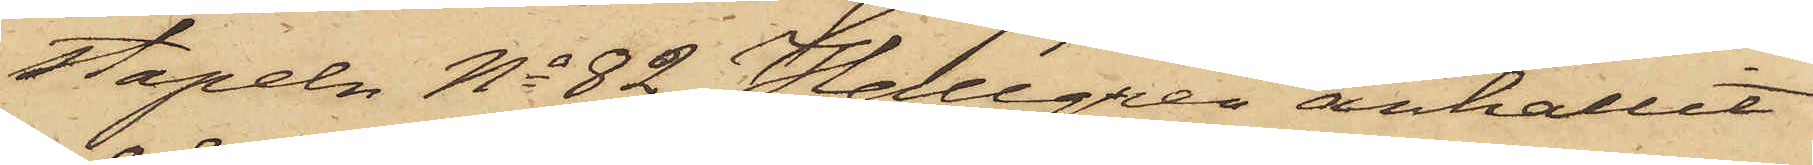stapeln No 82 Hallgren anhållit
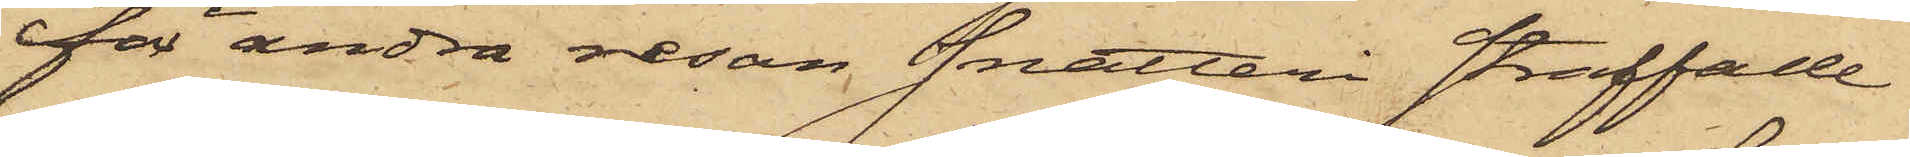för andra resan snatteri straffade
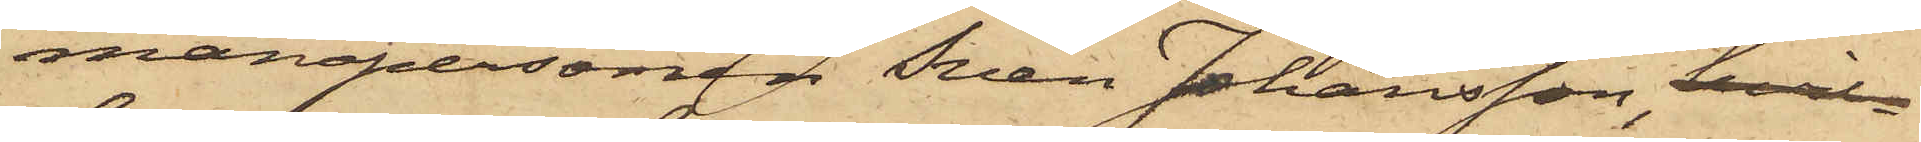manspersonen Sven Johansson, hvil¬
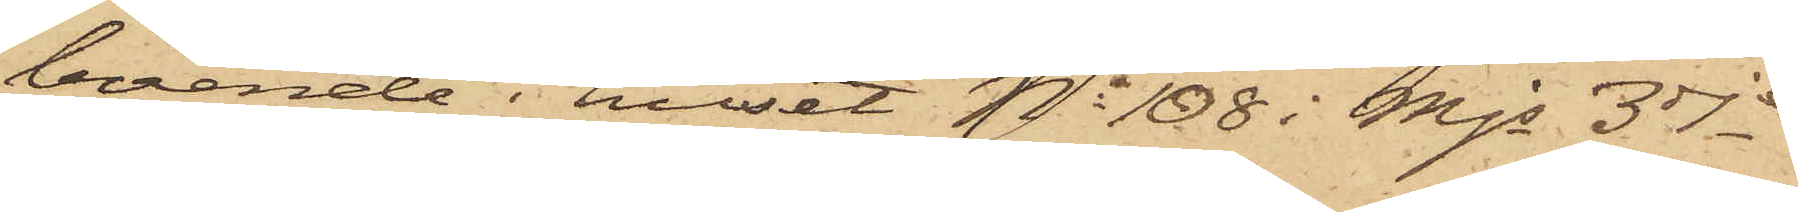boende i huset No 108 i Mjs 3dje
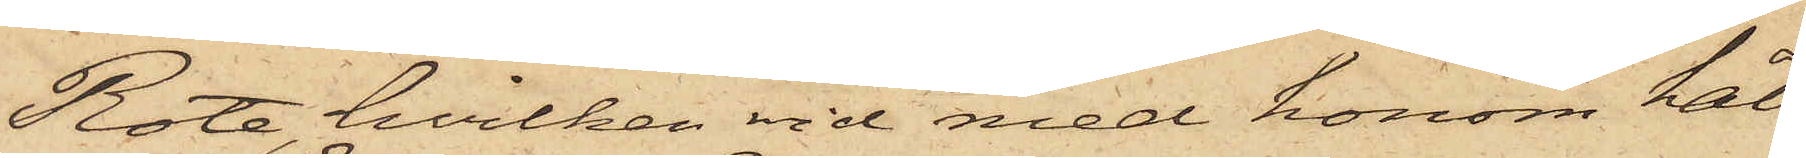Rote, hvilken vid med honom hål¬
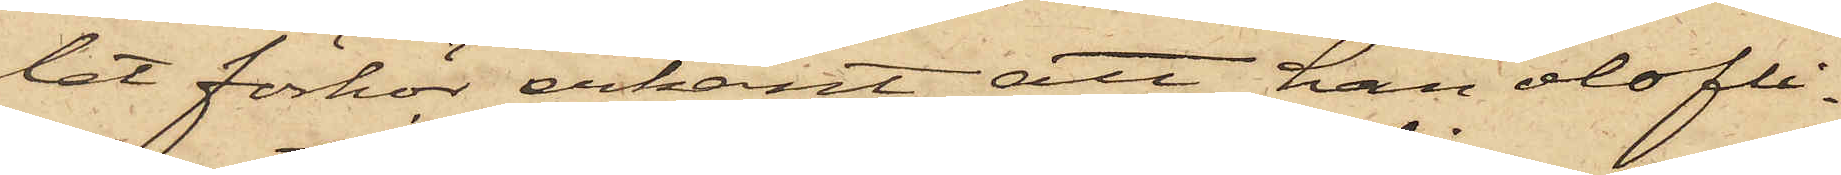let förhör erkänt, att han olofli¬
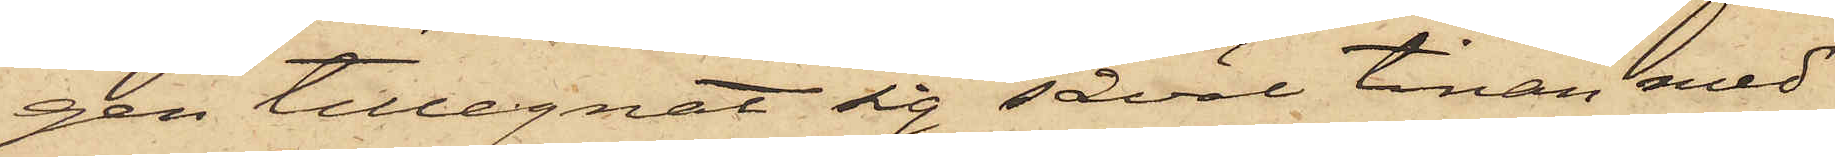gen tillegnat sig såväl tinan med
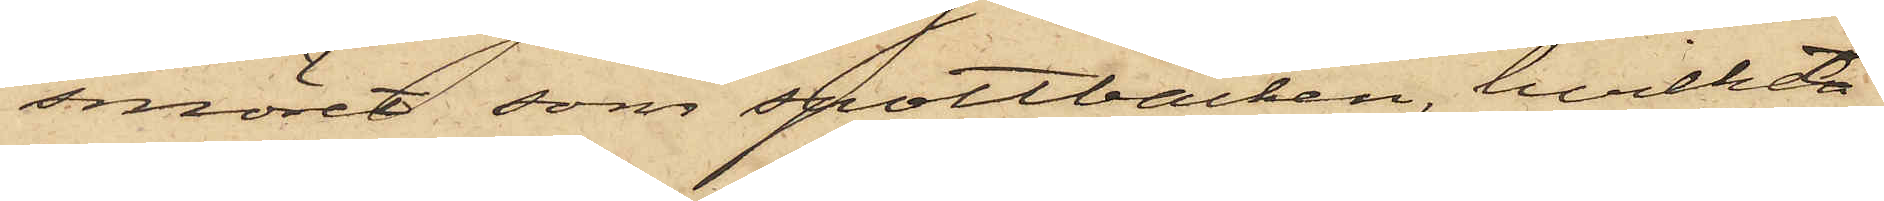smöret som spottbacken, hvilket
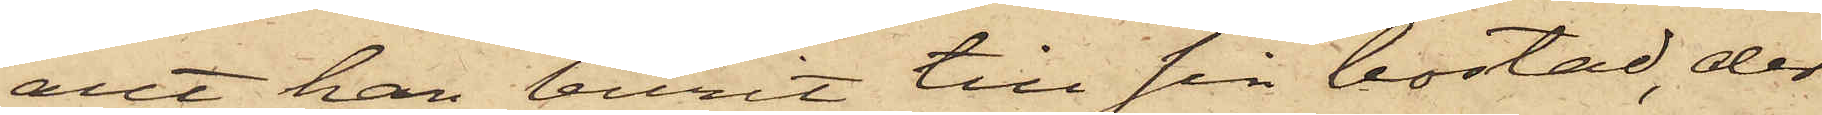allt han burit till sin bostad, der
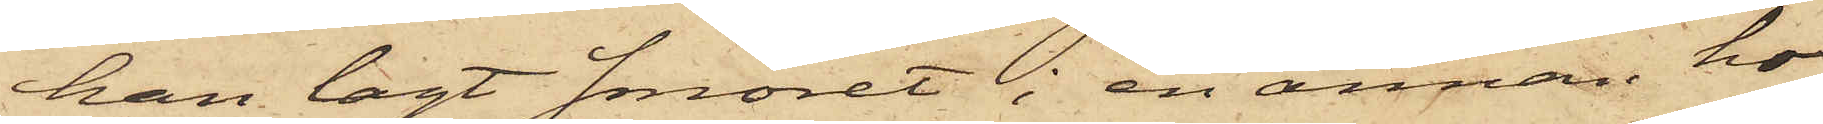han lagt smöret i en annan ho¬
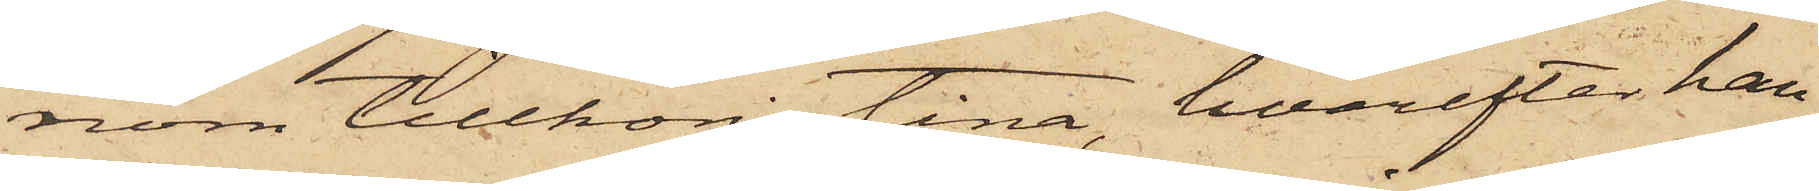nom tillhörig tina, hvarefter han
